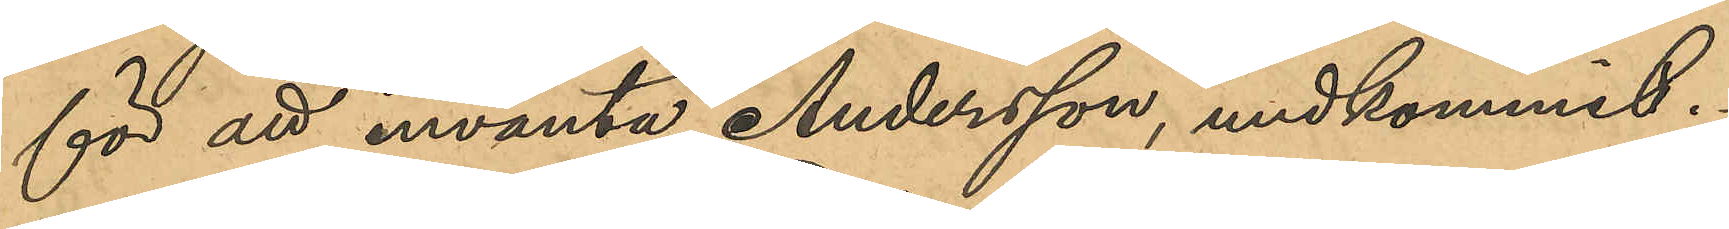för att invänta Andersson, undkommit.
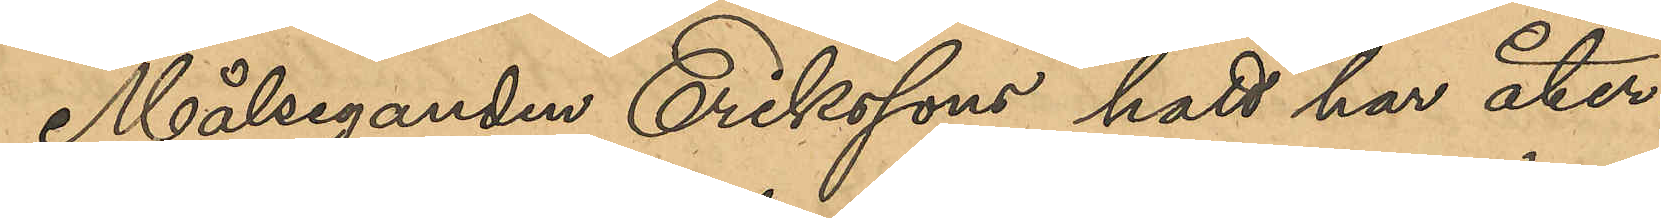Målseganden Erikssons hatt har åter¬
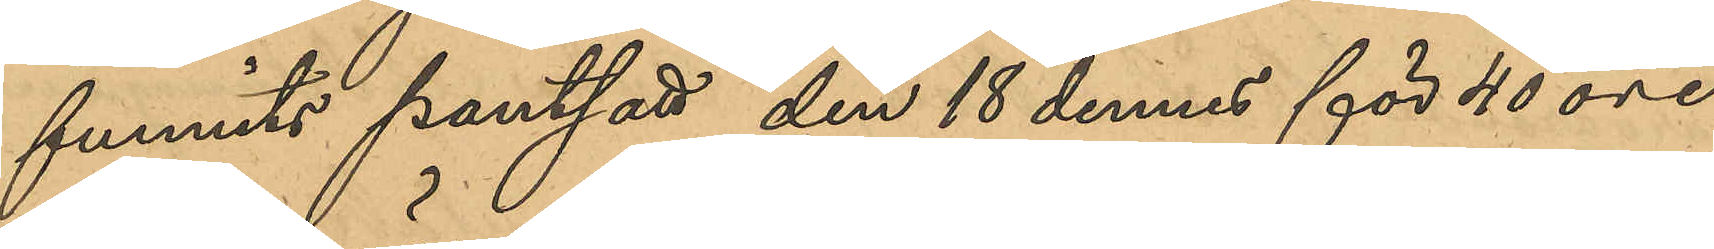funnits pantsatt den 18 dennes för 40 öre
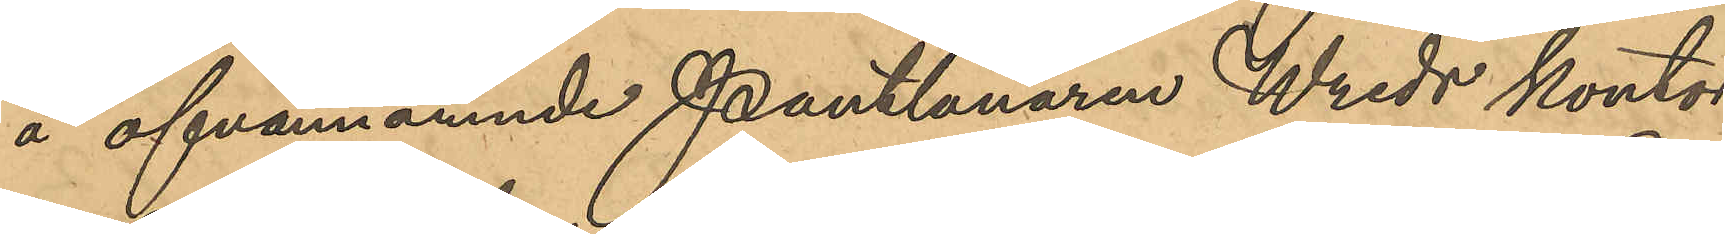å ofvannämnde Pantlånaren Wreds kontor.
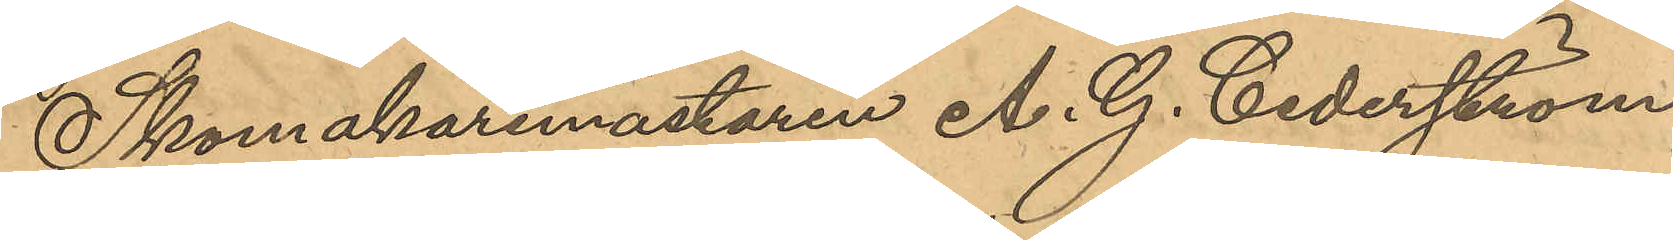Skomakaremästaren A. G. Cedeström
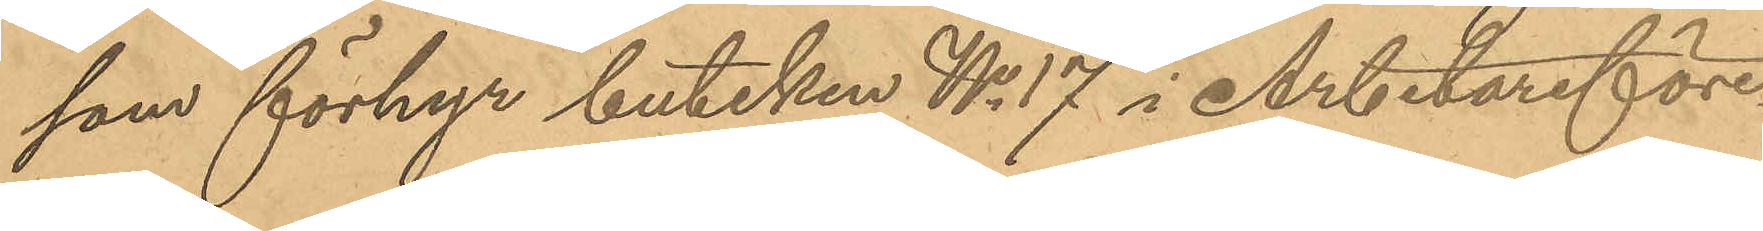som förhyr butiken No 17 i Arbetareföre¬
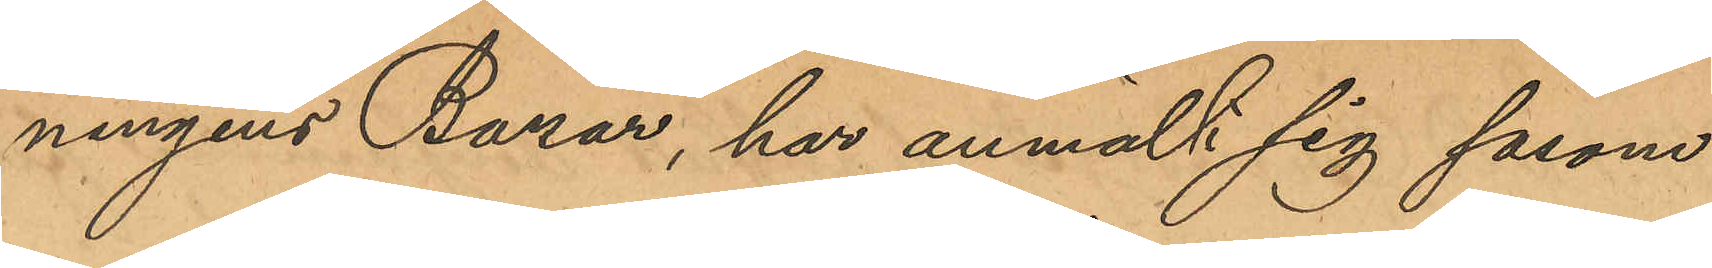ningens Bazar, har anmält sig såsom
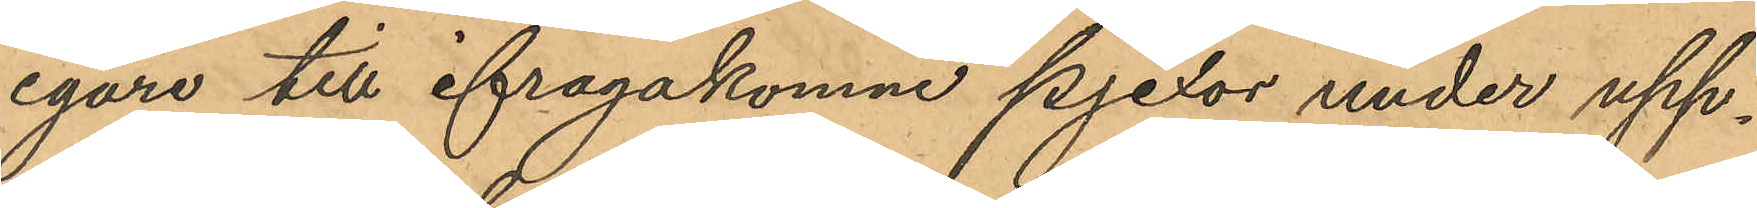egare till ifrågakomne pjexor under upp¬
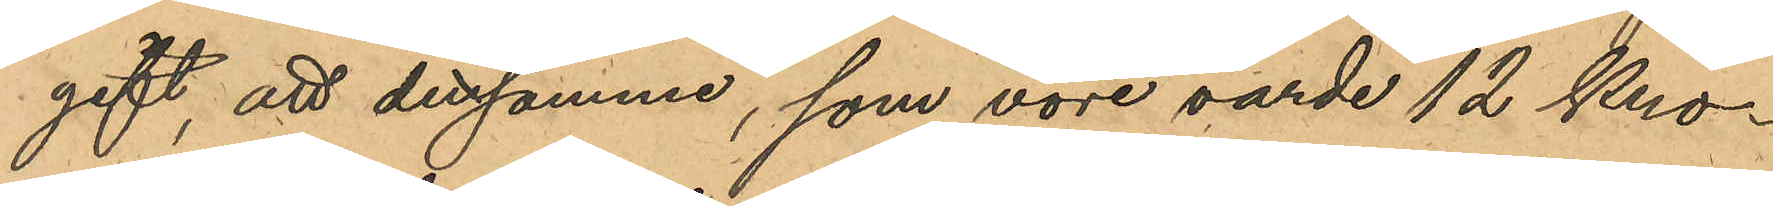gift, att densamme, som vore värde 12 Kro¬
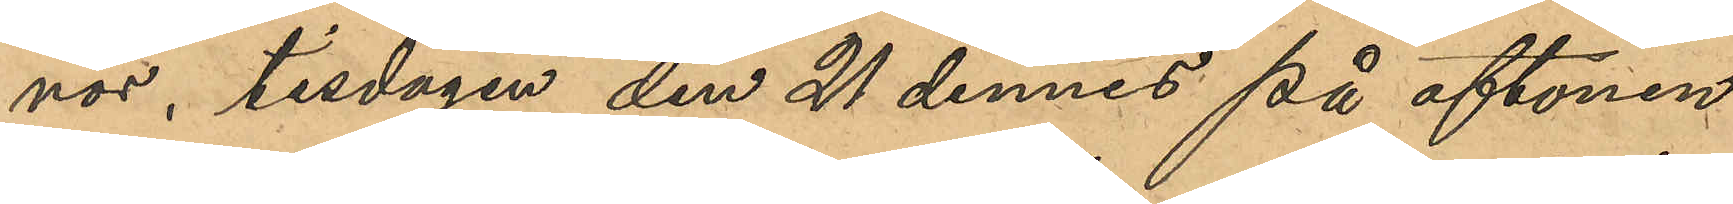nor, tisdagen den 21 dennes på aftonen
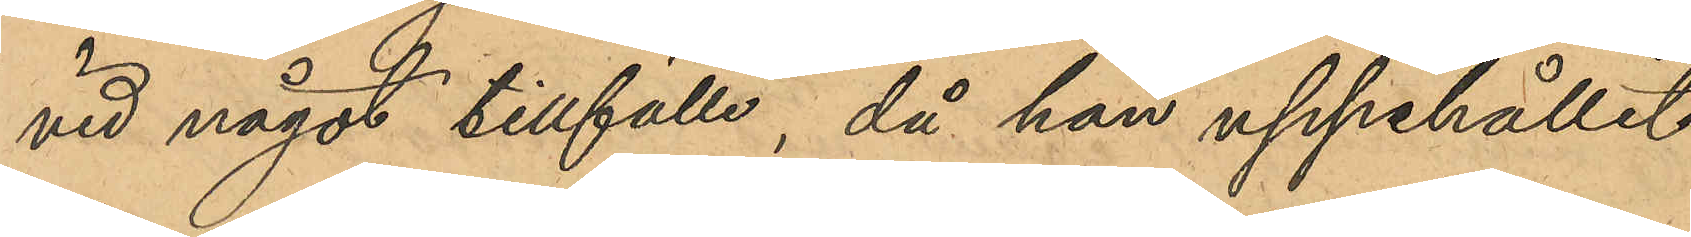vid något tillfälle, då han uppehållit
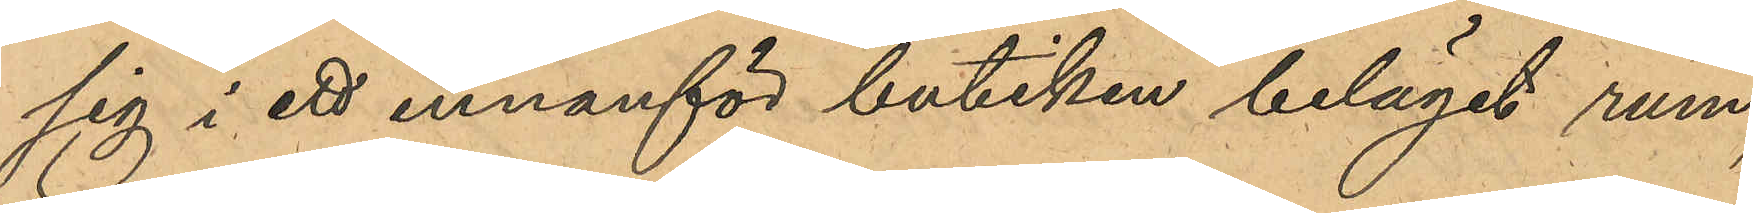sig i ett innanför butiken beläget rum,
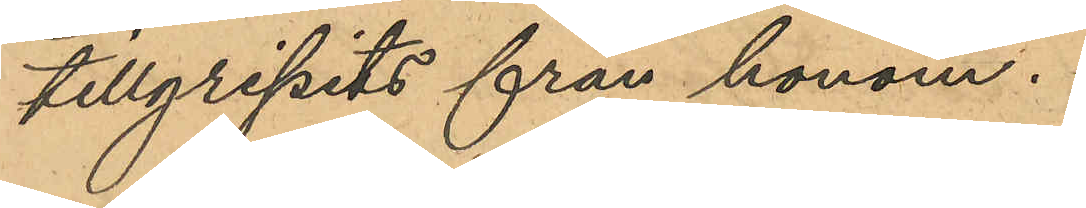tillgripits från honom.
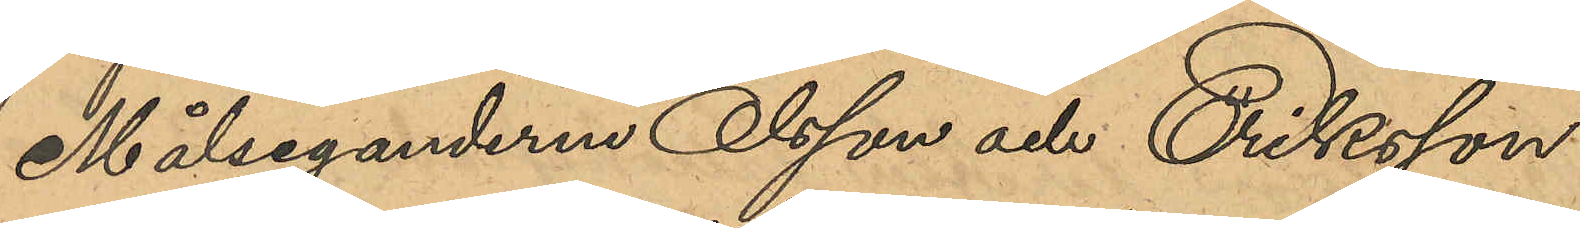Målseganderna Olsson och Eriksson
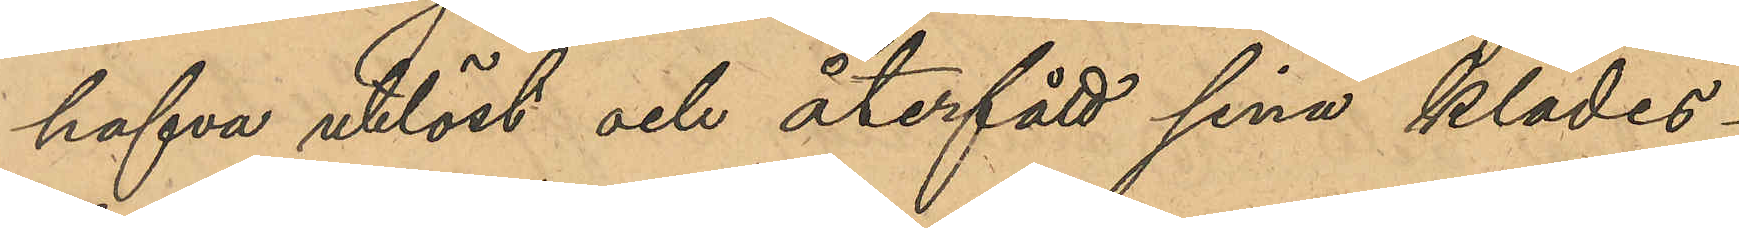hafva utlöst och återfått sina klädes¬
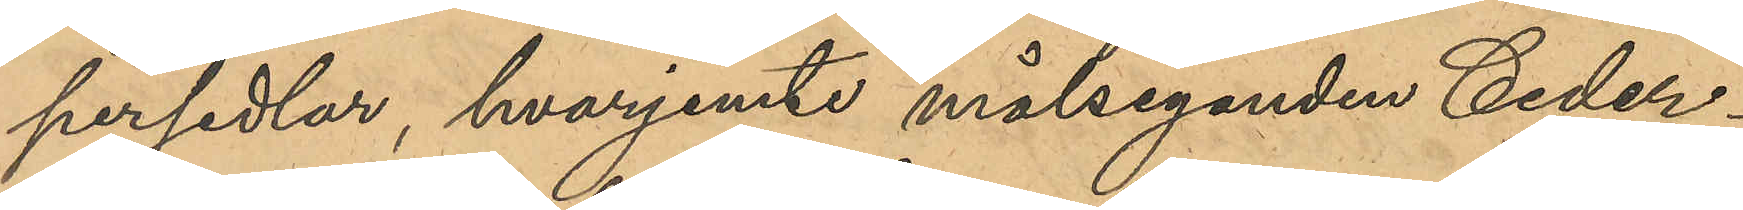persedlar, hvarjemte målseganden Ceder¬
